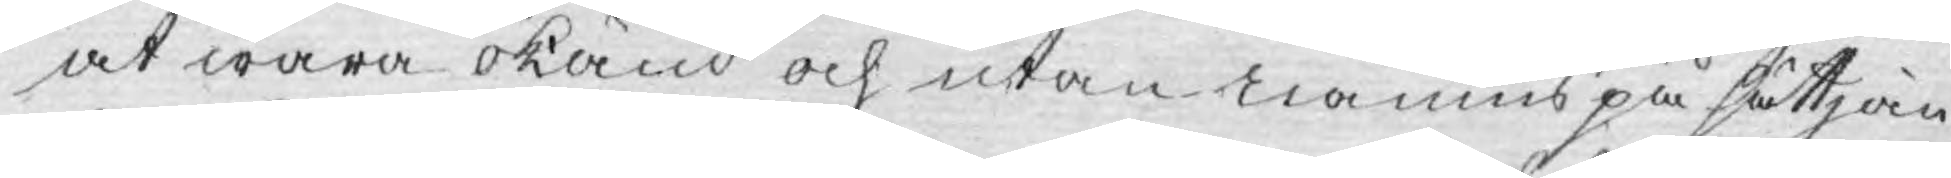at wara okänd och utan namns på sättjan¬
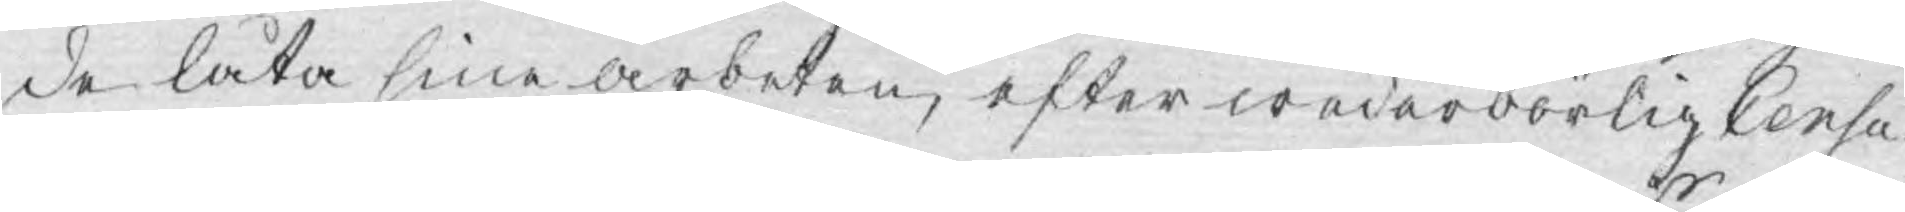de låta sine arbeten, efter wederbörlig Censu¬
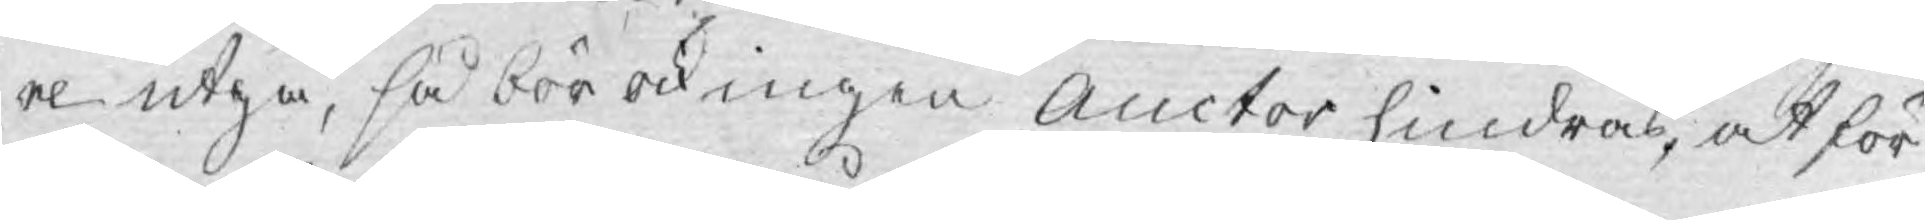re utgå, så bör ock ingen Auctor hindras, at för
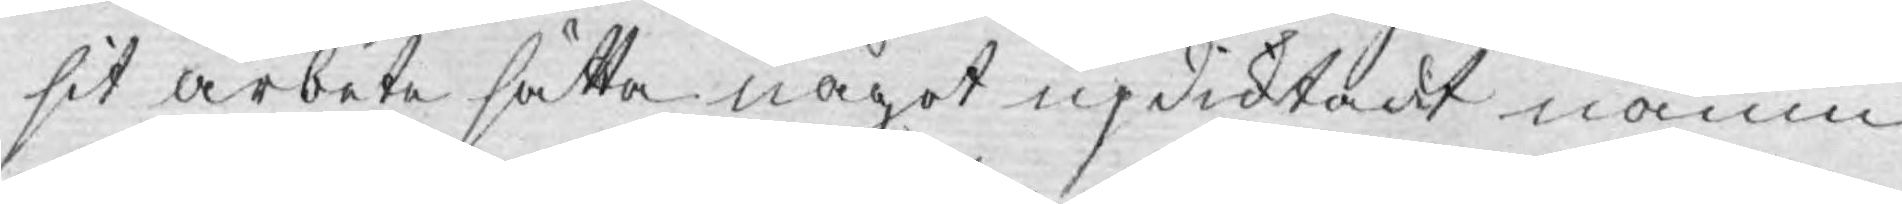sit arbete sätta något updiktadt namn,
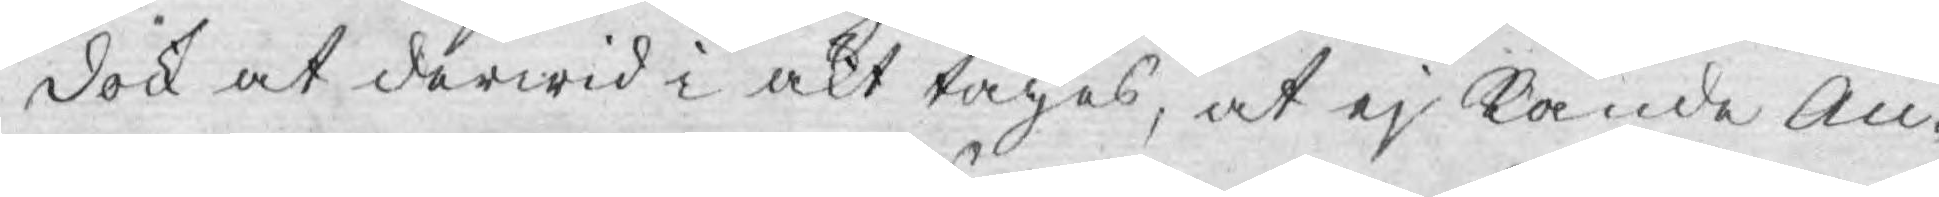dock at derwid i akt tages, at ej kände Au¬
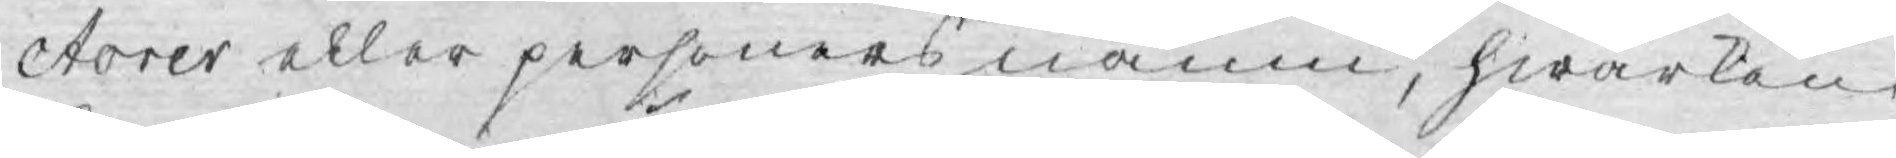ctorer eller personers namn, hwarken
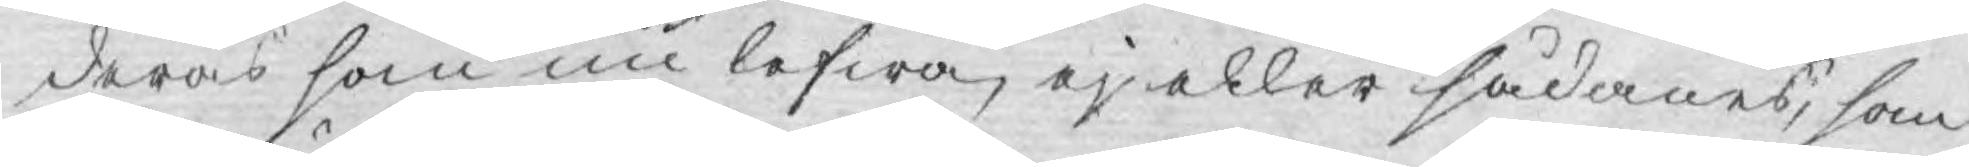deras som nu lefwa, ej eller sådanes, som
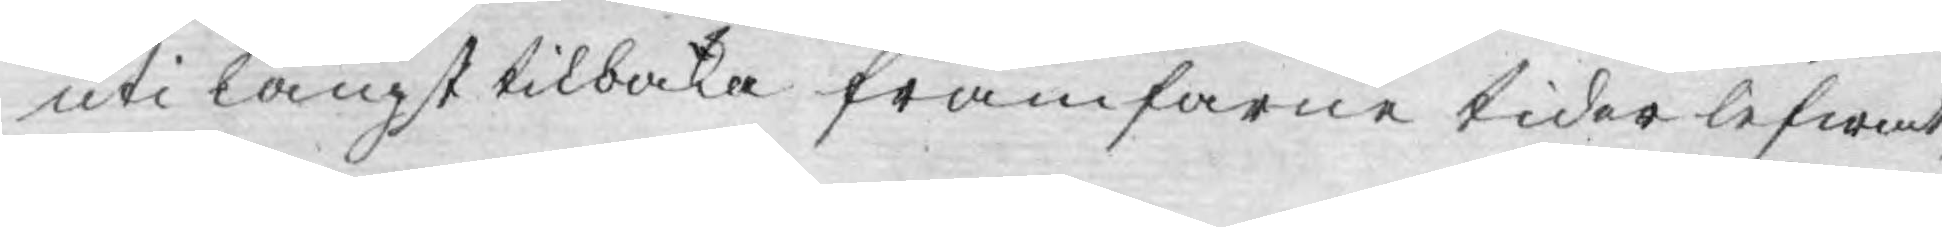uti långt tilbaka framfarne tider lefwat
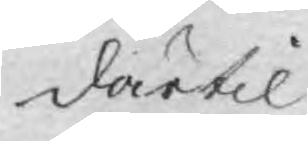därtil
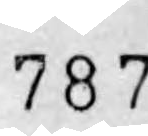787.
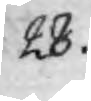28.
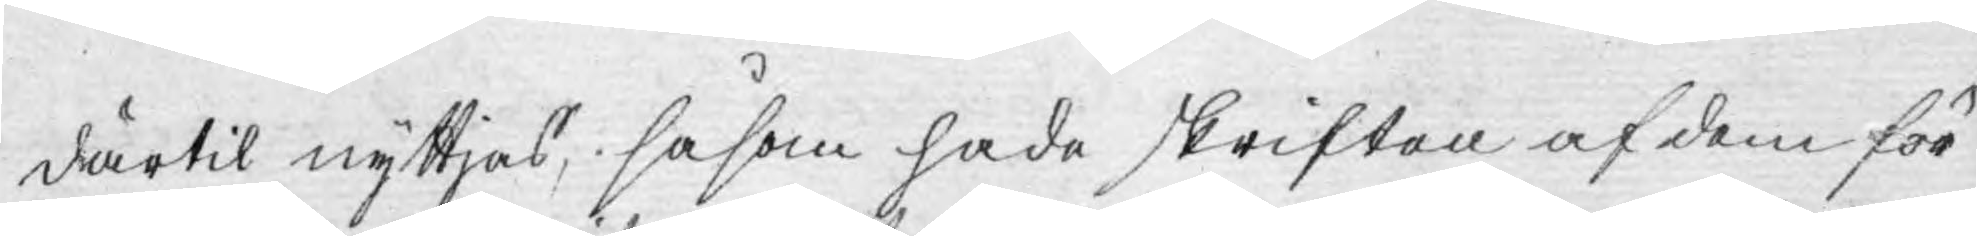därtil nyttjas, såsom hade skriften af dem för¬
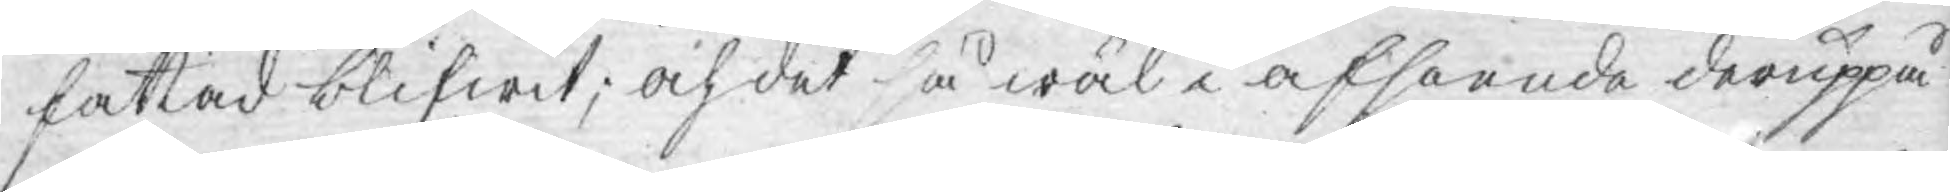fattad blifwit; och det så wäl i afseende deruppå.
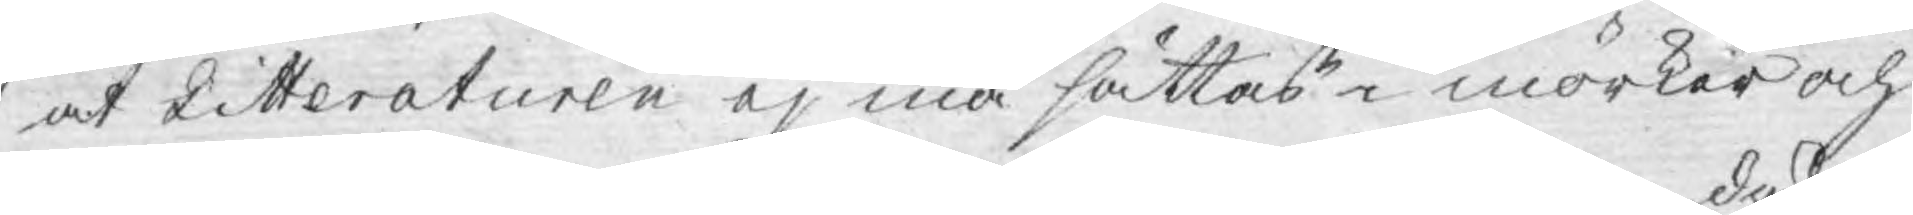at Litteraturen ej må sättas i mörker och
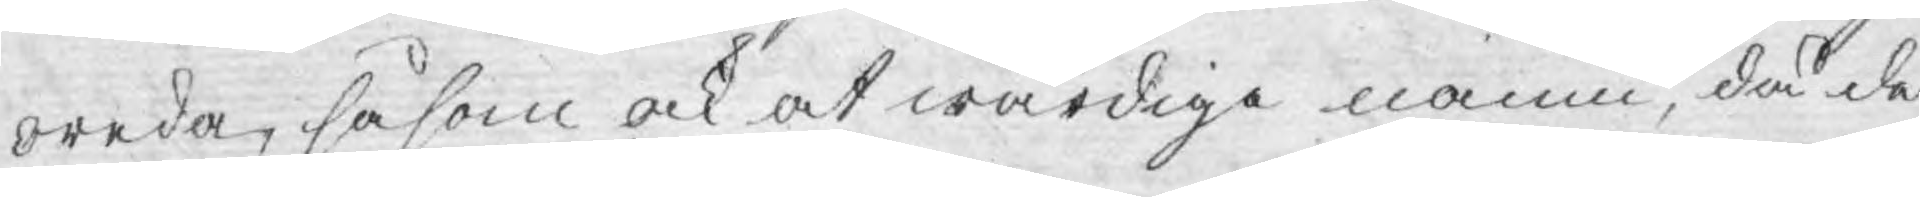oreda, såsom ock at wärdiga namn, då de
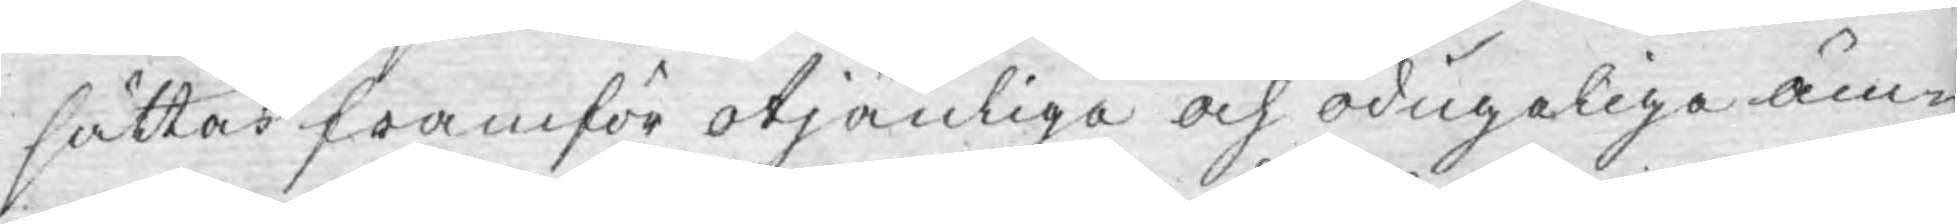sättas framför otjänliga och odugeliga äm¬
